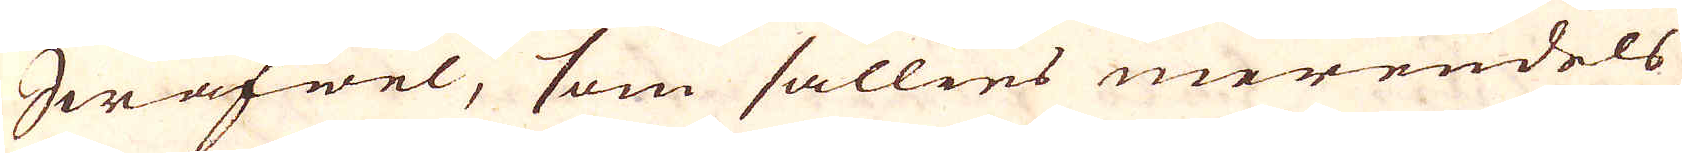Swafwel, som sällies merendels
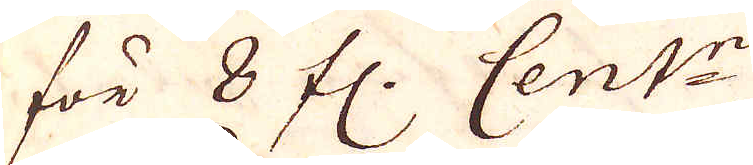för 8 fl. Cent:r.
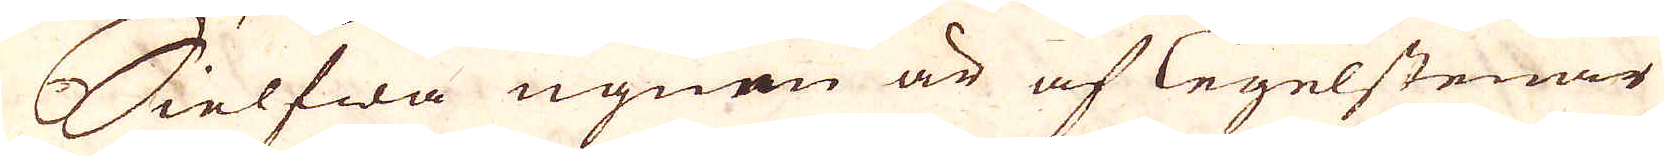Sielfwa ugnen är af Tegelstenar
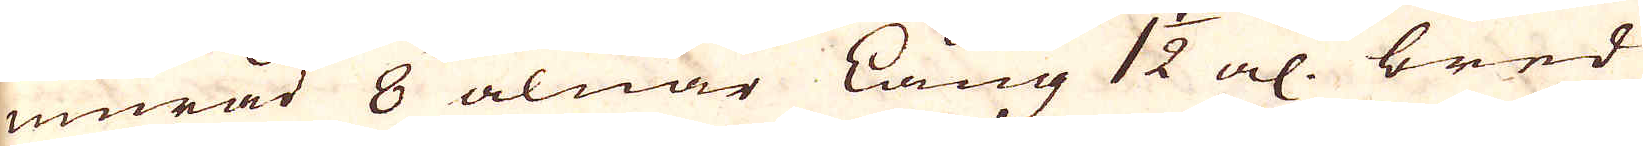murad 8 alnar Lång 1 1/2 al. bred
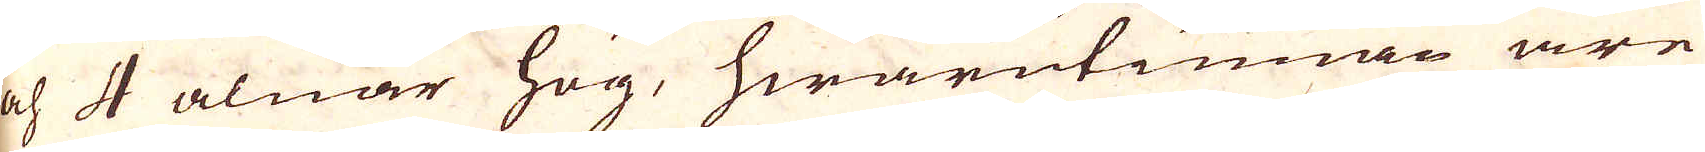och 4 alnar hög, hwarutinnan äre
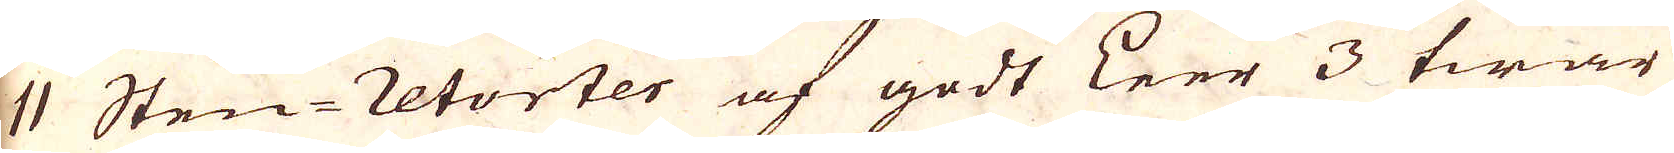11 Sten-retorter af godt Leer 3 twär
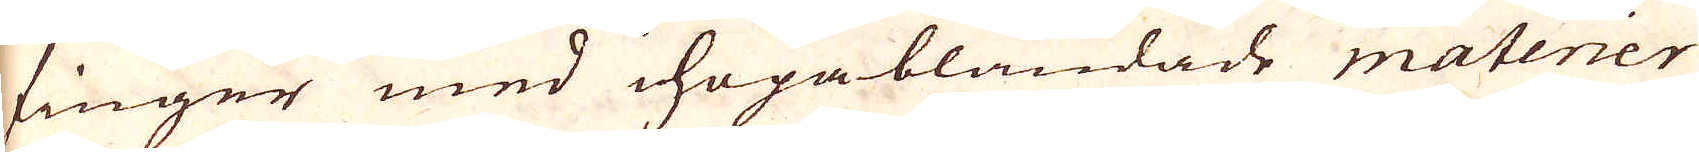finger med hopablandade materier
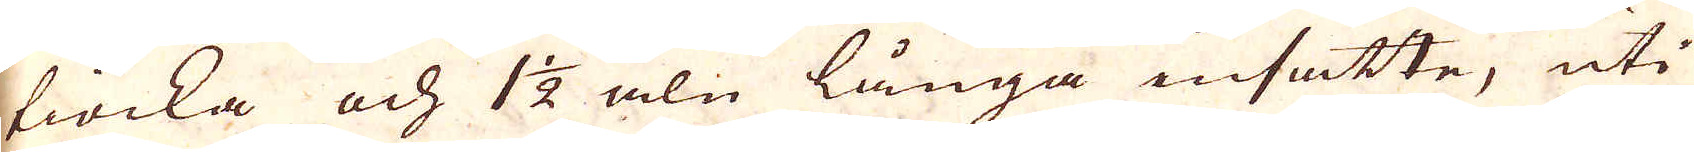tiocka och 1 1/2 aln långa insatte, uti
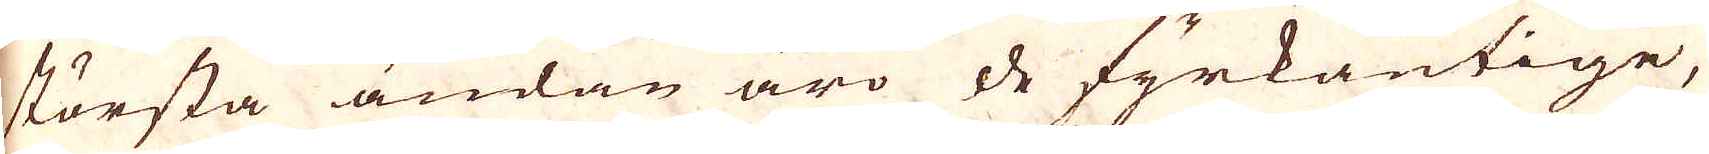största ändan äro de fyrkantige,
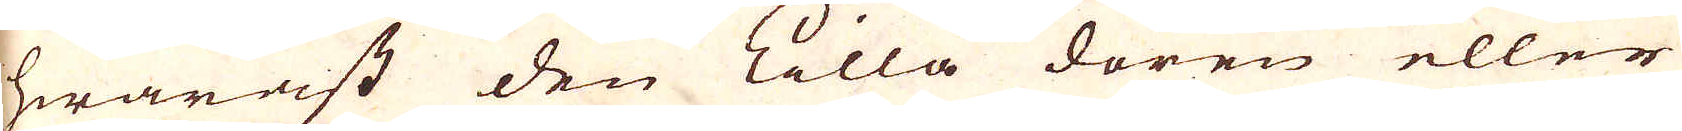hwaräst den lilla dören eller
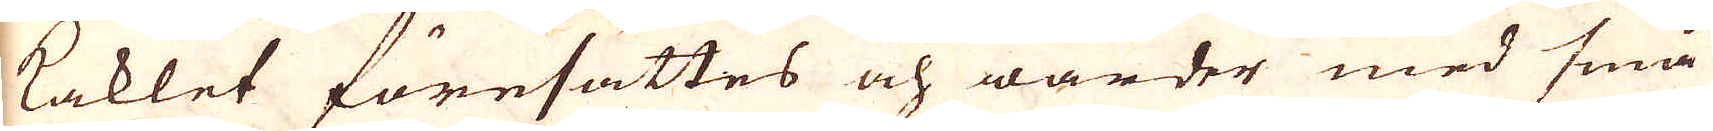kaklet föresättes och warder med små
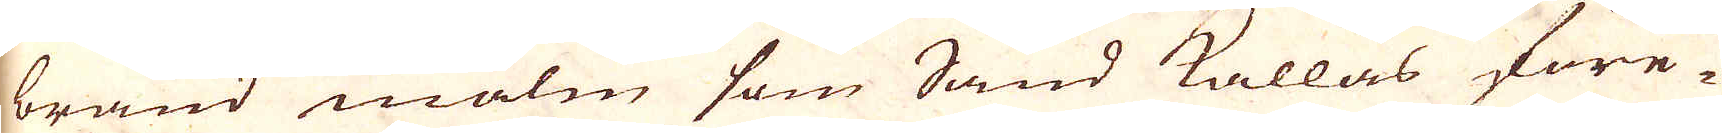bränd malm som Sand kallas före-
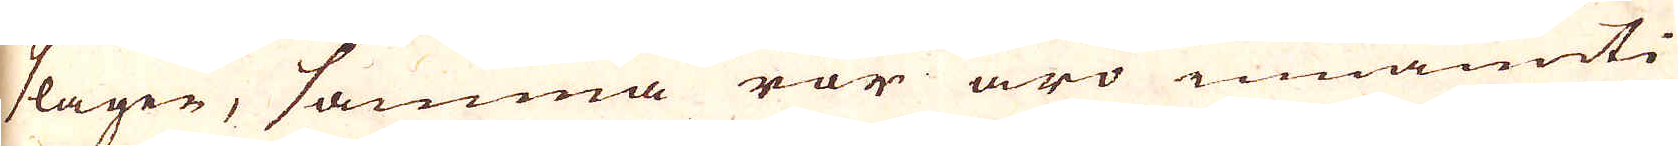slagen, samma rör äro innanuti
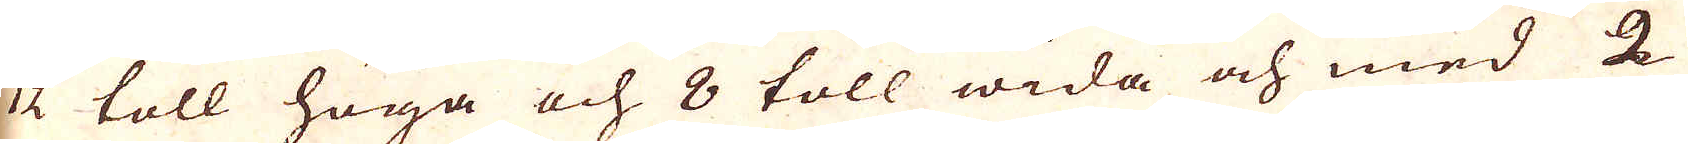12 toll höga och 8 toll wida och med 2
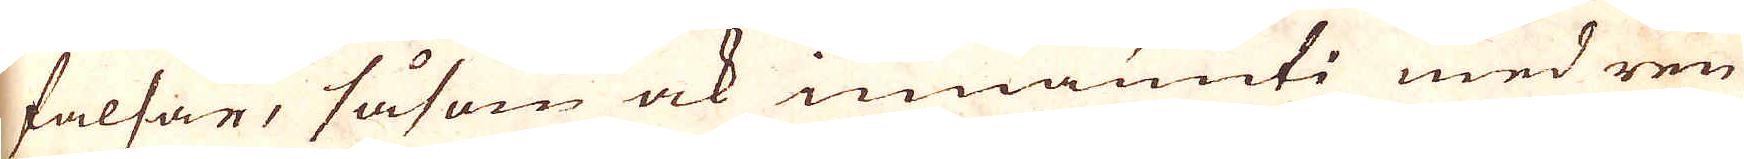falsar, såsom ock innanuti med ren
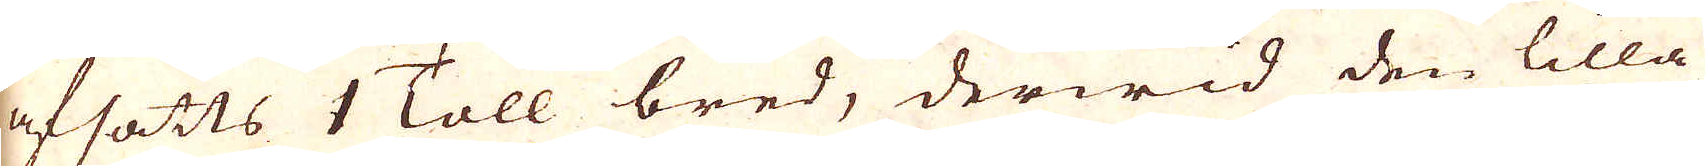afsatts 1 Toll bred, derwid den lilla
